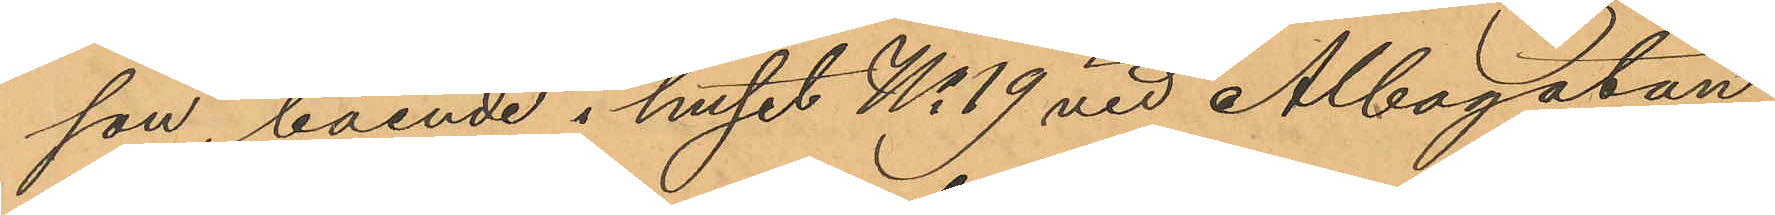son, boende i huset No 19 vid Albogatan,
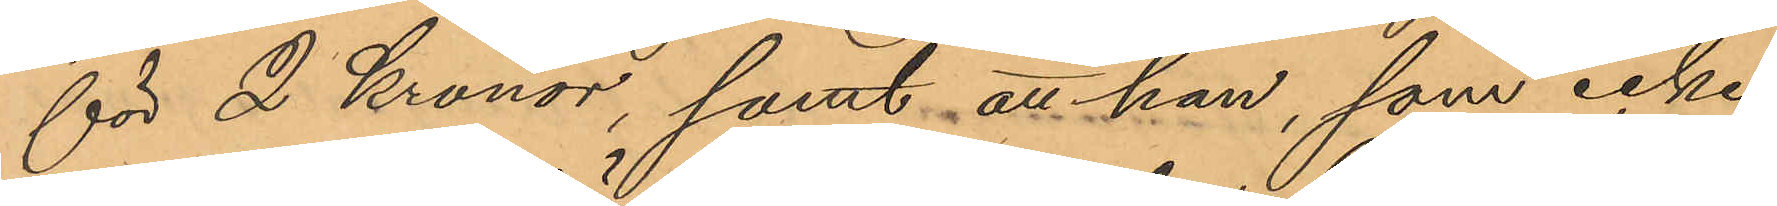för 2 Kronor, samt att han, som icke
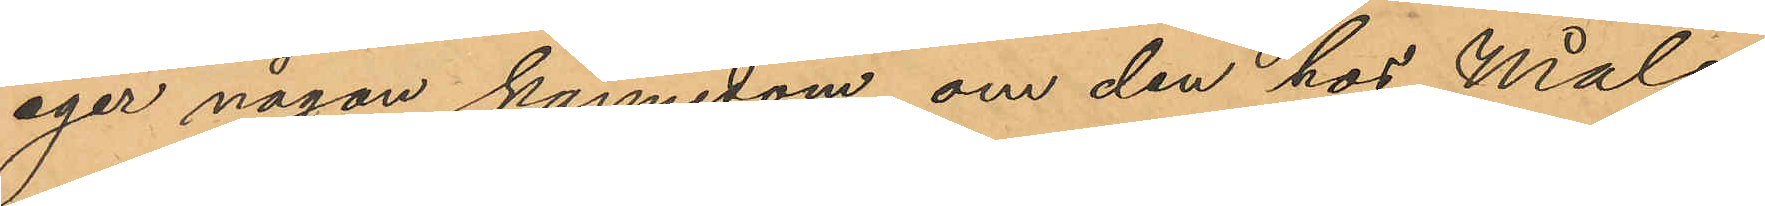eger någon kännedom om den hos Måls¬
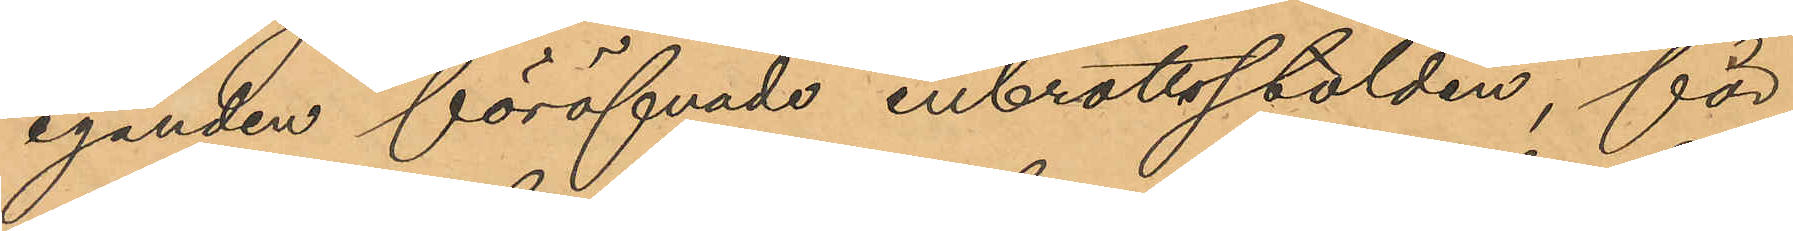eganden föröfvade inbrottsstölden, för¬
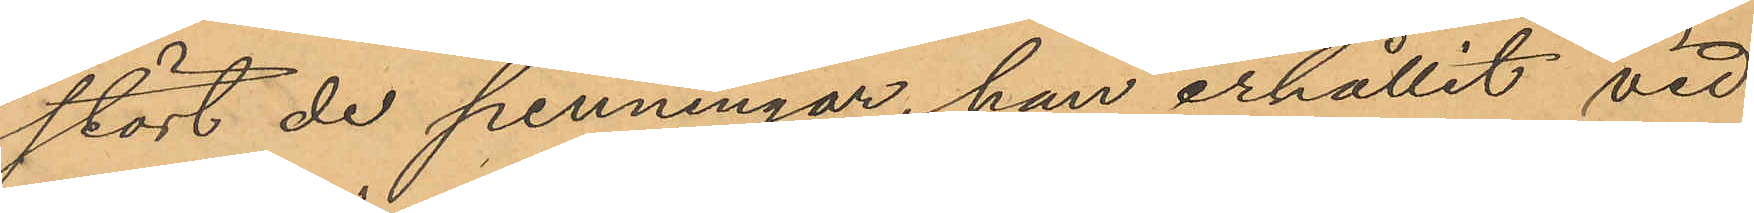stört de penningar, han erhållit vid
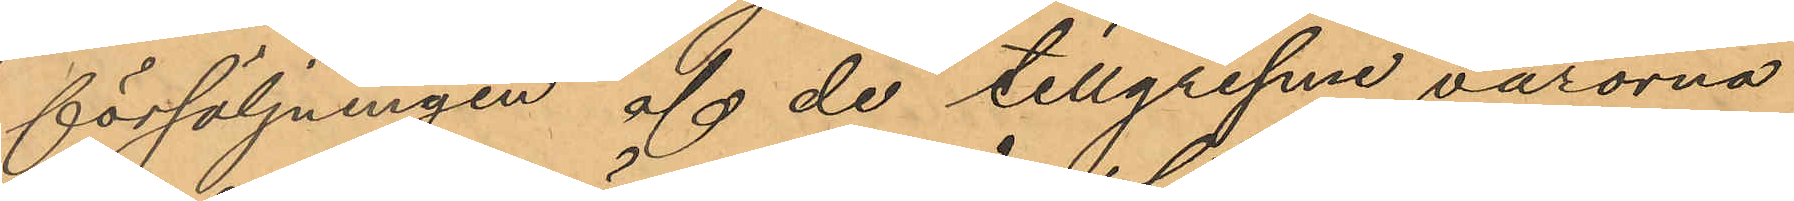försäljningen af de tillgripne varorna
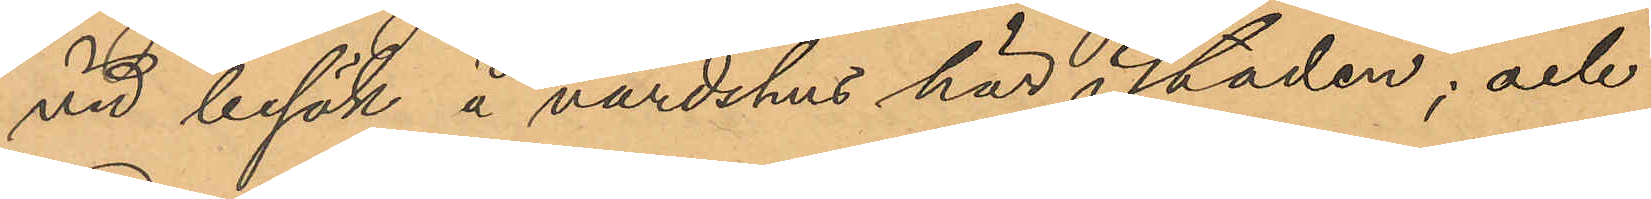vid besök å värdshus här i staden; och
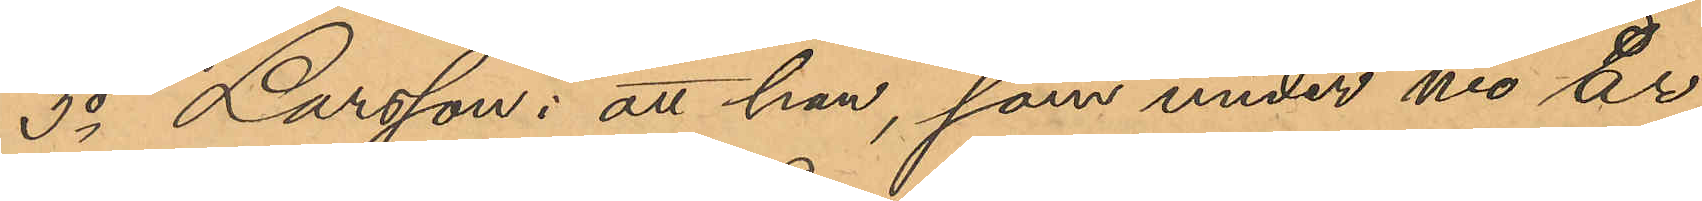3o Larsson: att han, som under nio år
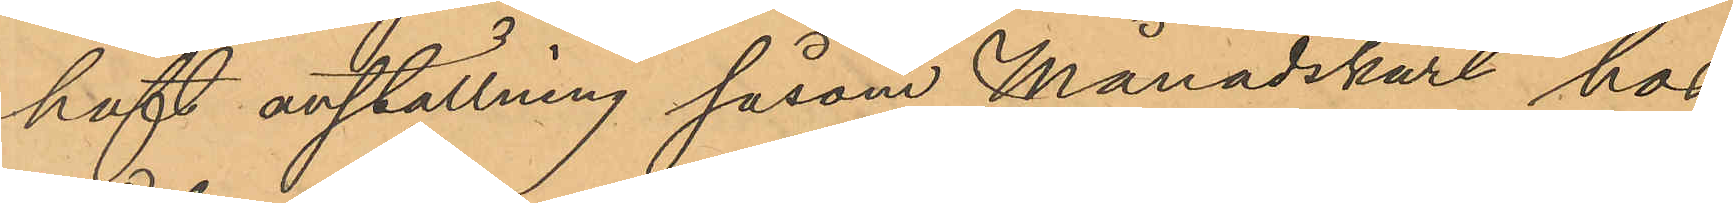haft anställning såsom Månadskarl hos
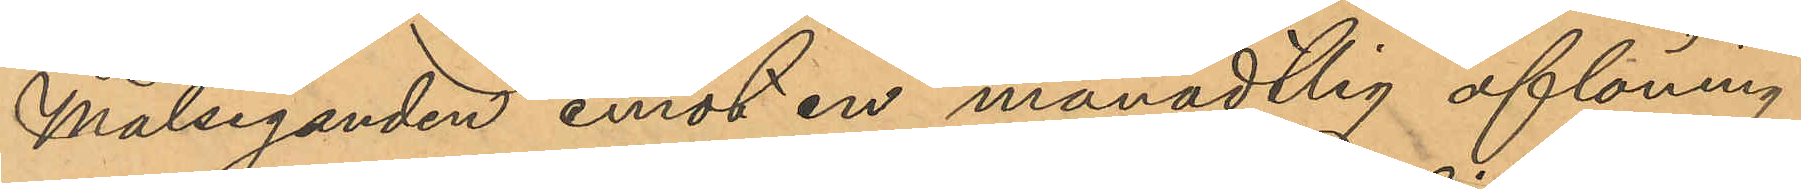Målseganden emot en månadtlig aflöning
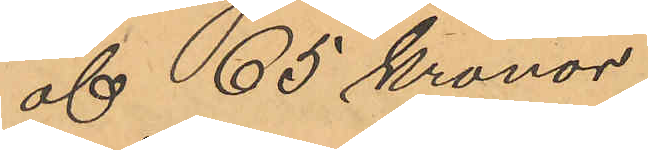af 65 Kronor,
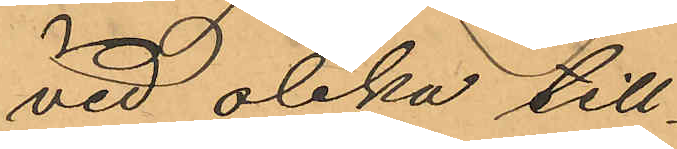vid olika till¬
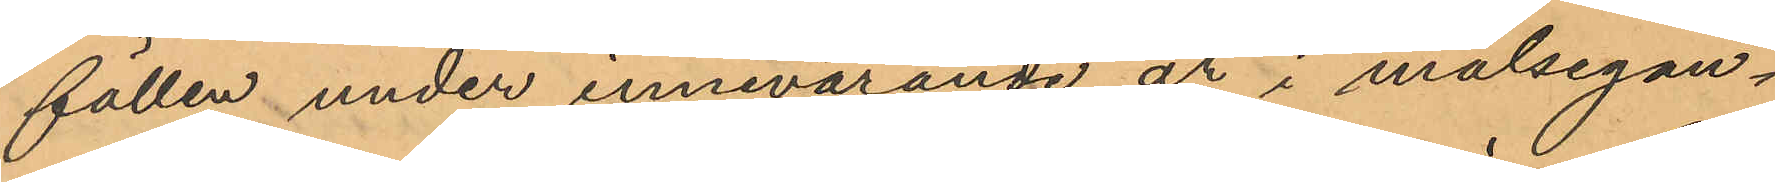fällen under innevarande år i målsegan¬
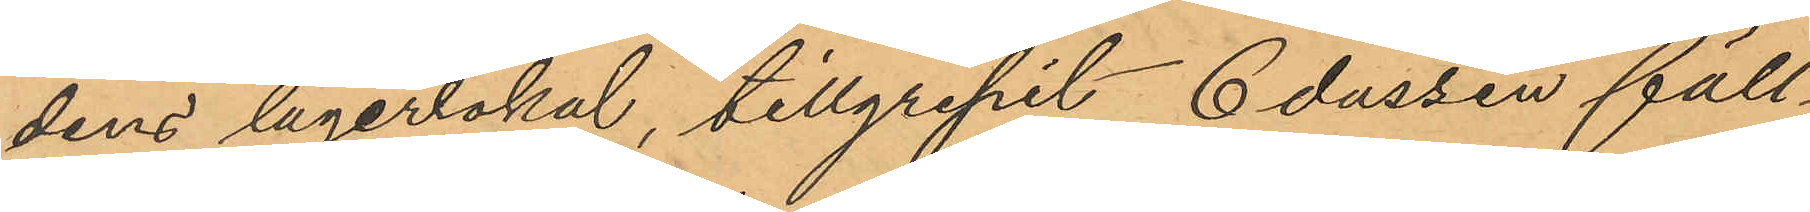dens lagerlokal, tillgripit 6 dussin fäll¬
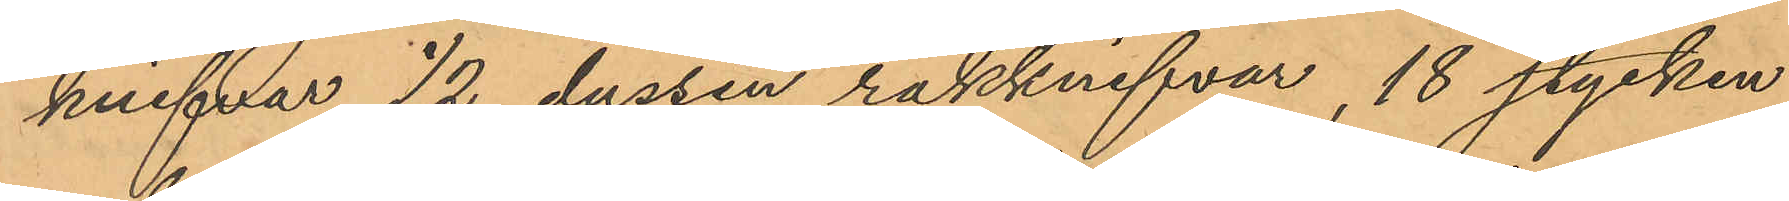knifvar, 1/2 dussin rakknifvar, 18 stycken
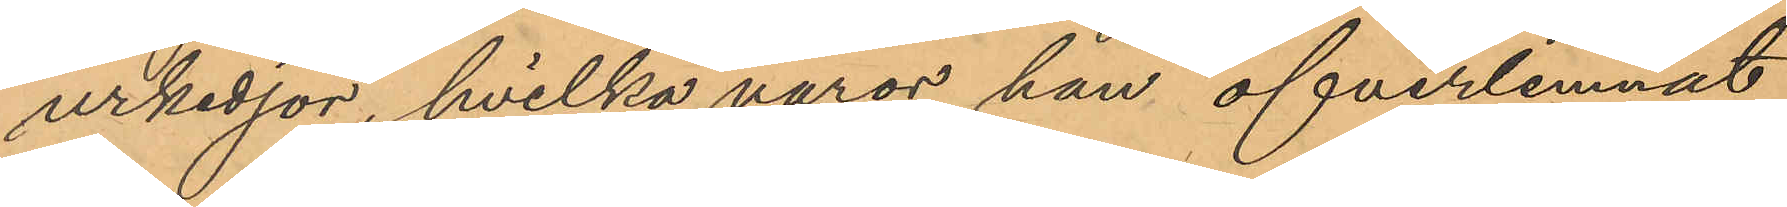urkedjor, hvilka varor han öfverlemnat
